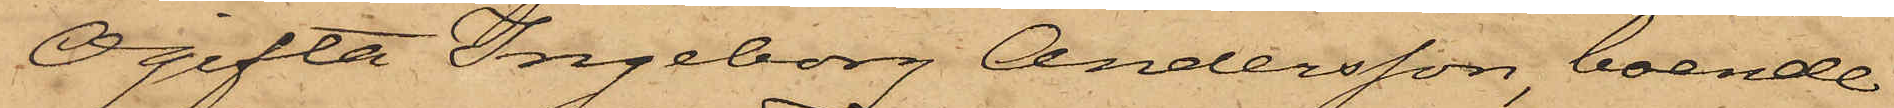Ogifta Ingeborg Andersson, boende
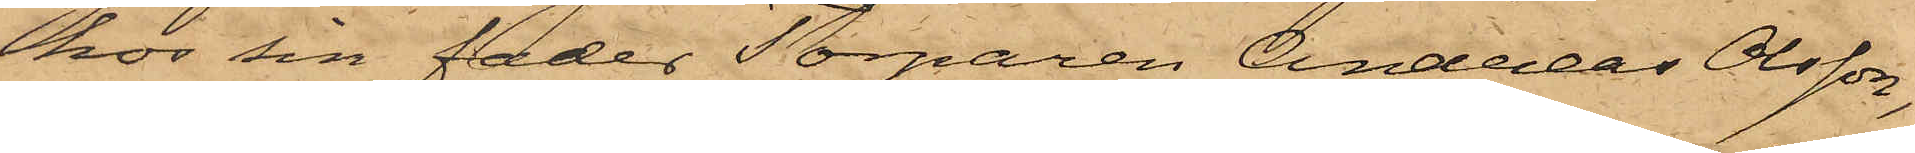hos sin fader Torparen Andreas Olsson,
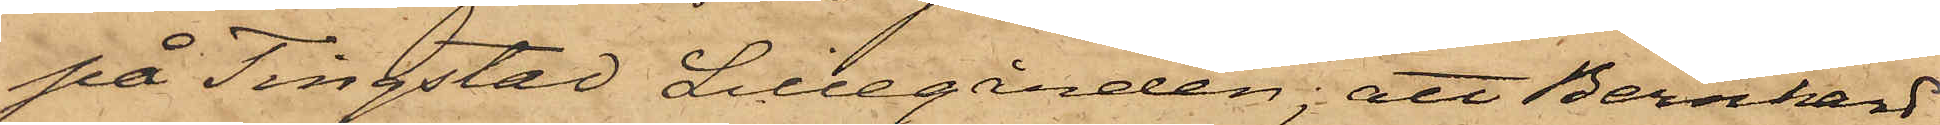på Tingstad Lillegården; att Bernhard
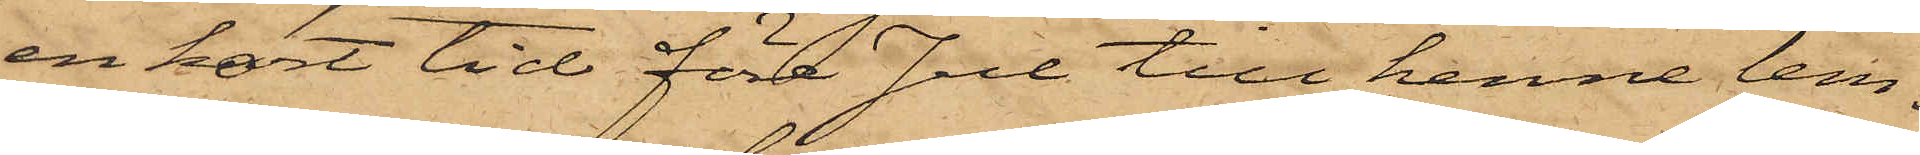en kort tid före Jul till henne lem¬
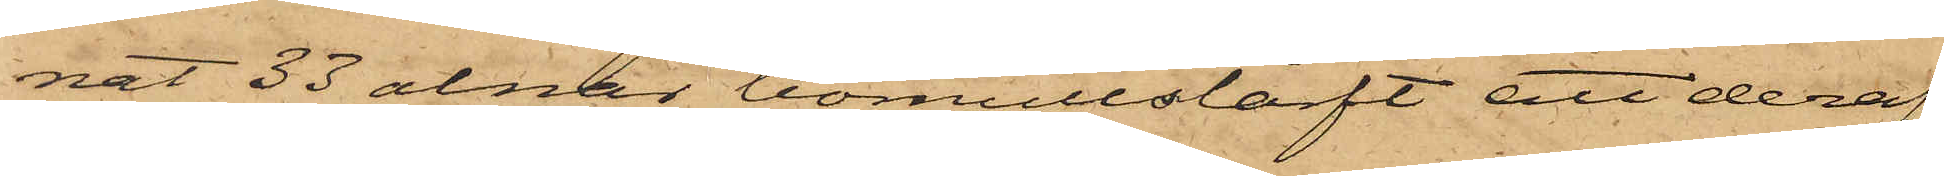nat 33 alnar bomullslärft att deraf
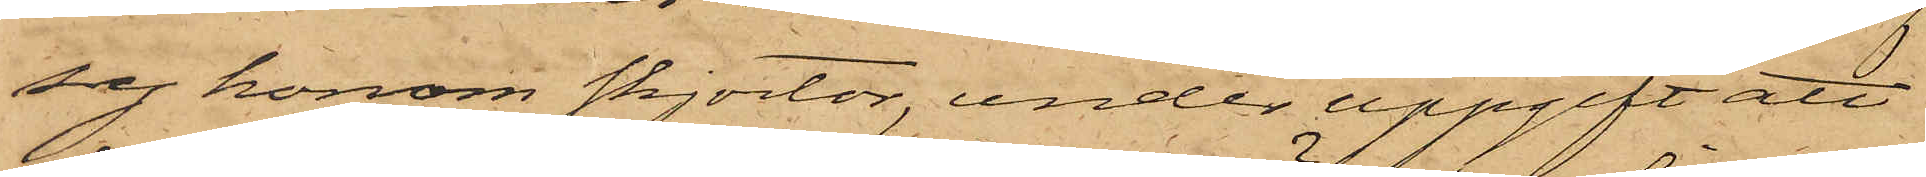sy honom skjortor, under uppgift att
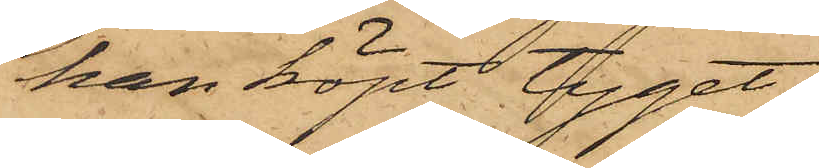han köpt tyget;
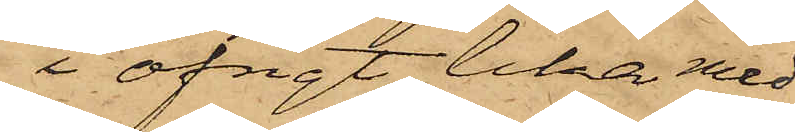i öfrigt lika med
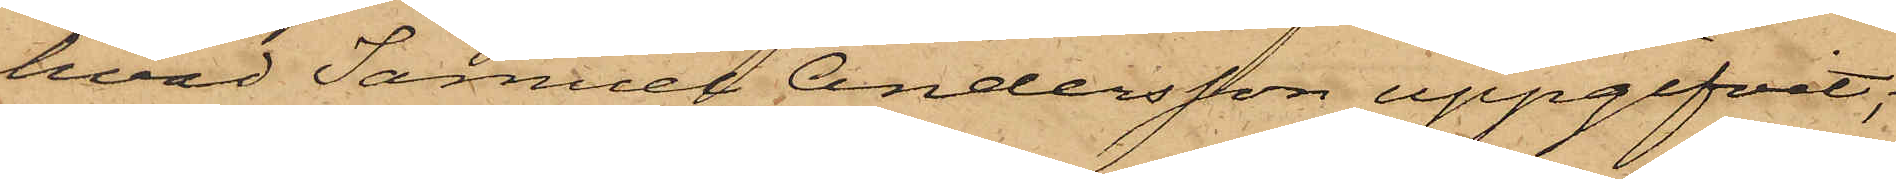hvad Samuel Andersson uppgifvit;
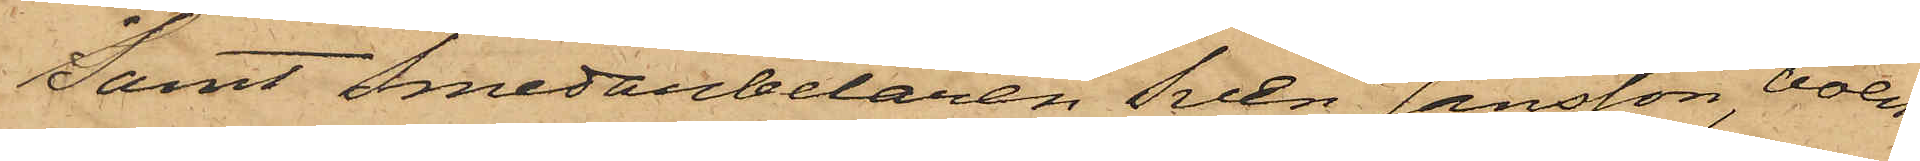samt Smedabetaren Sven Jansson, boen¬
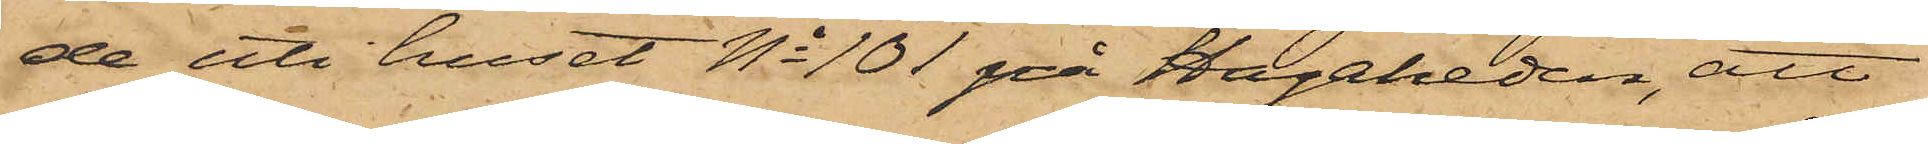de uti huset No 101 på Hagaheden, att
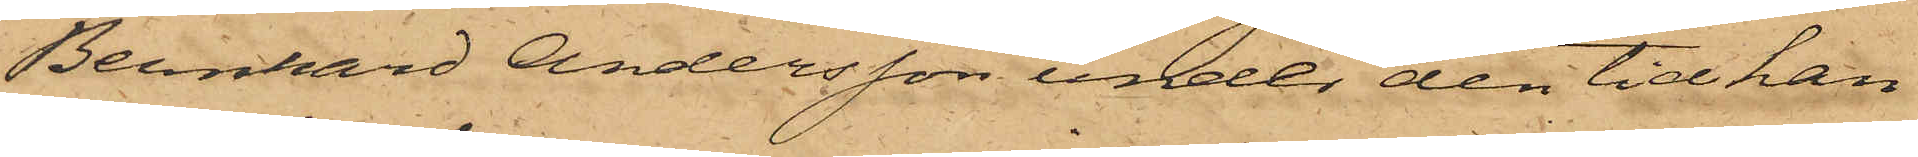Bernhard Andersson under den tid han
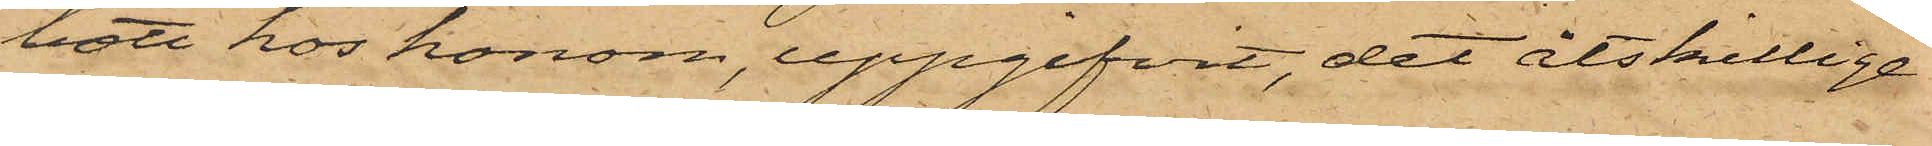bott hos honom, uppgifvit, det åtskillige
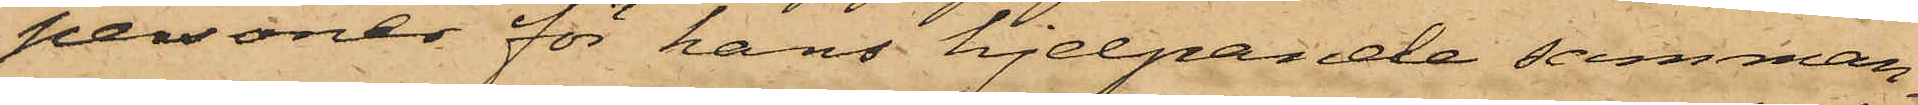personer för hans hjelpande samman¬
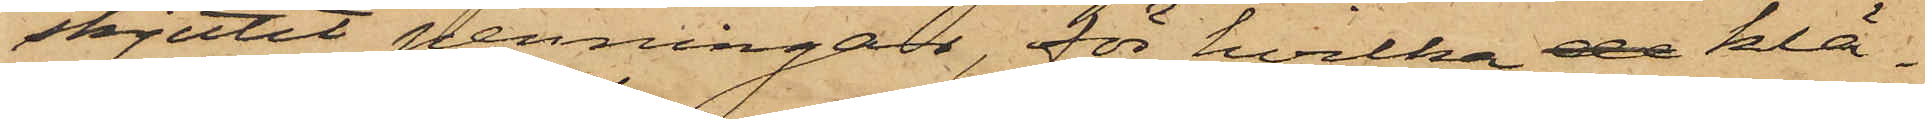skjutit penningar, för hvilka de klä¬
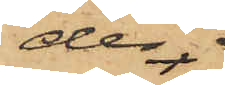der
